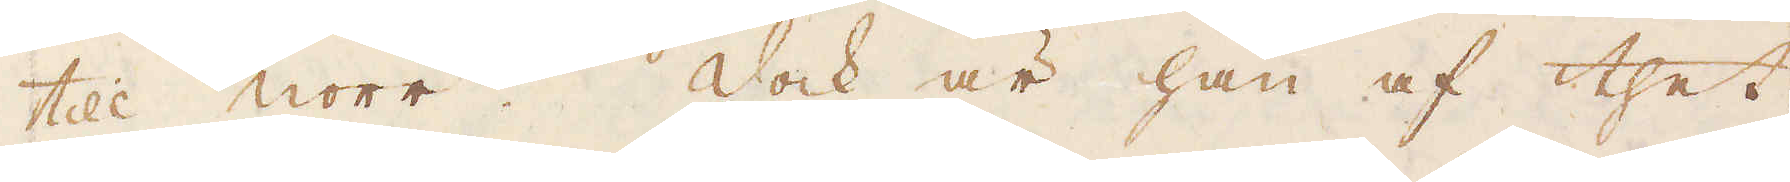till norr. Dock är han af thet
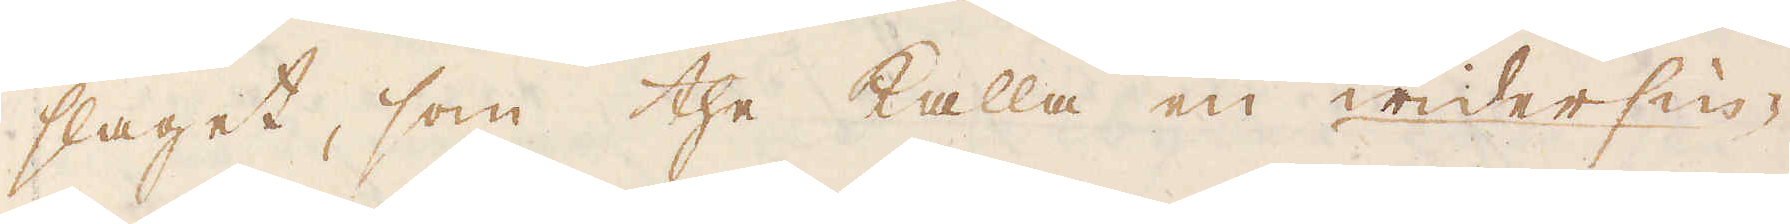slaget, som the kalla en widersie-
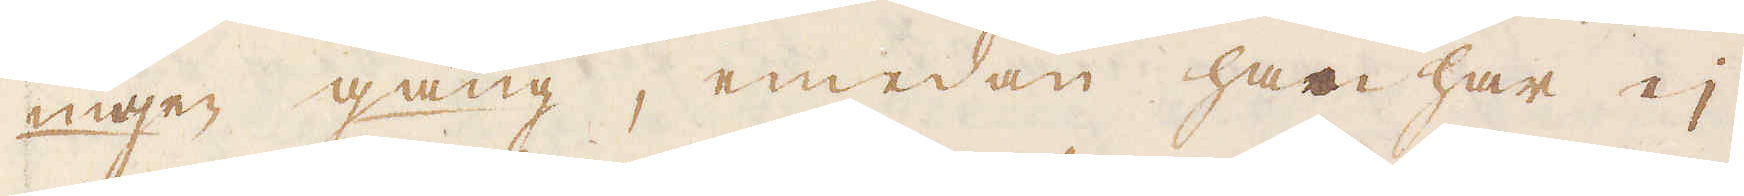nigen gang, emedan har har ej
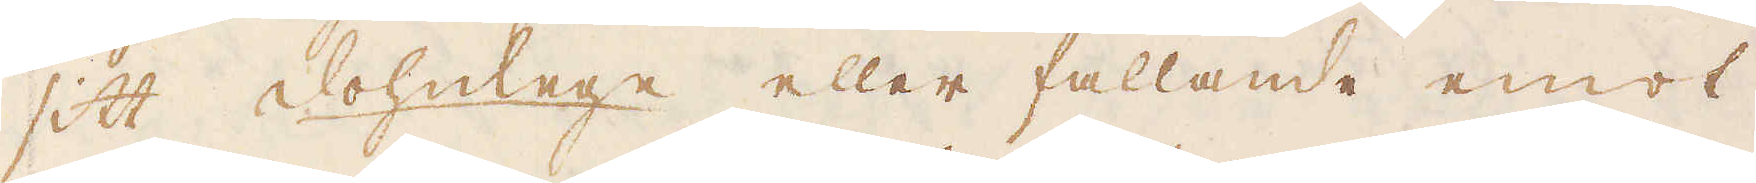sitt dohnlege eller fallande emot
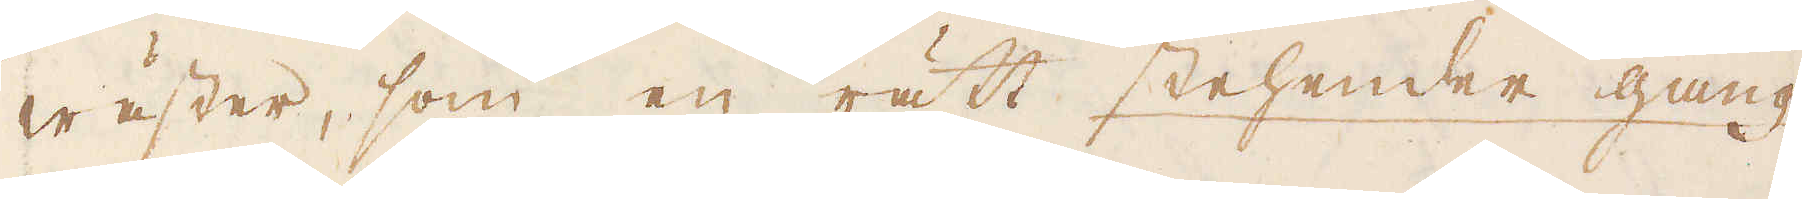wäster, som en rätt stehender gang
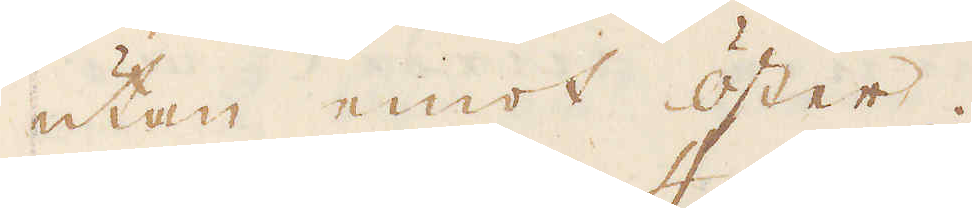utan emot öster.
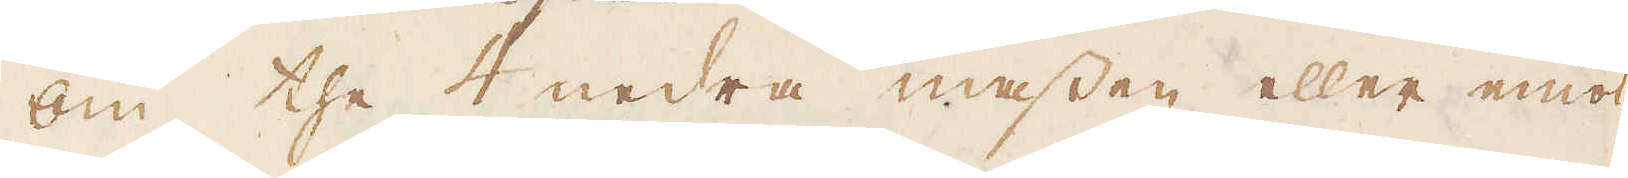Om the 4 nedra massen eller emot
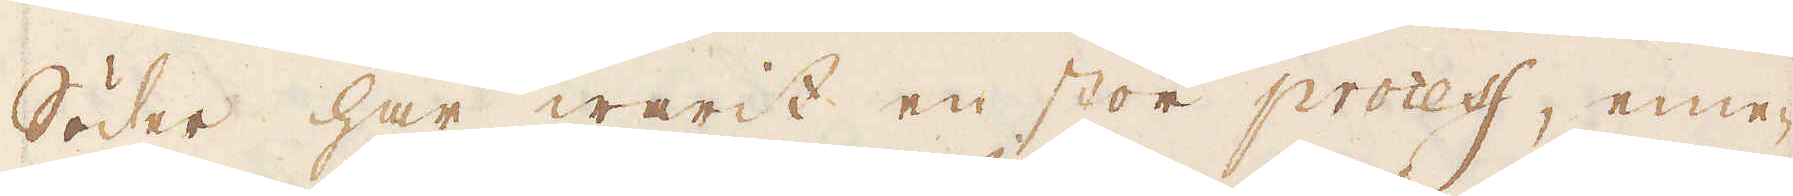Söder har warit en stor process, eme-
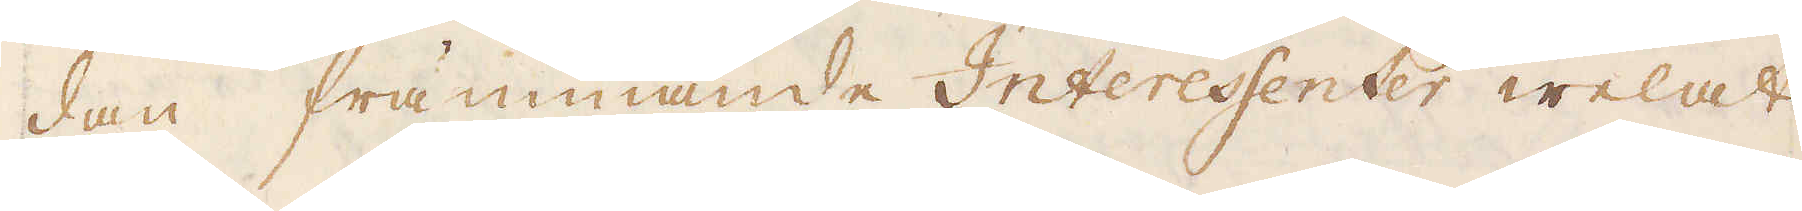dan främmande Interessenter welat
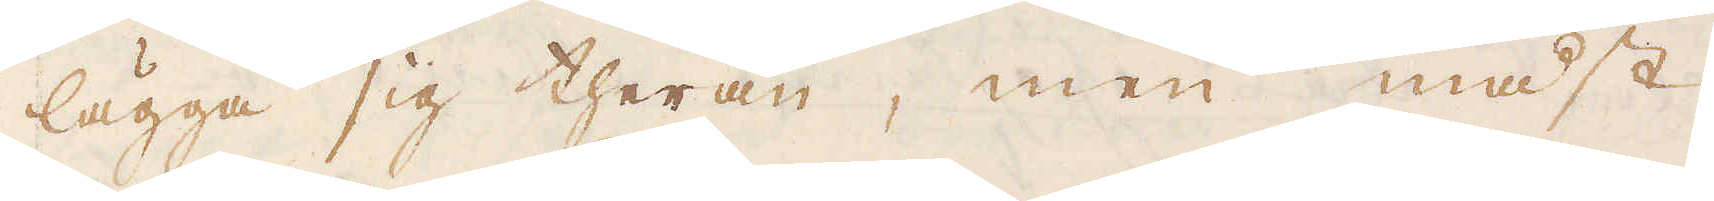lägga sig theran, men mäst
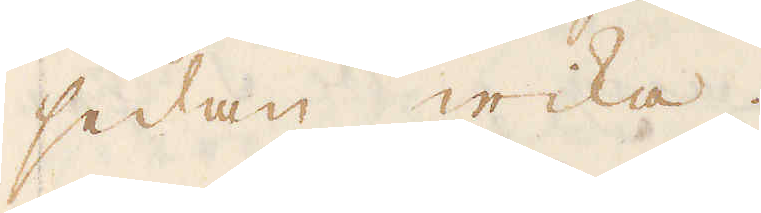sedan wika.
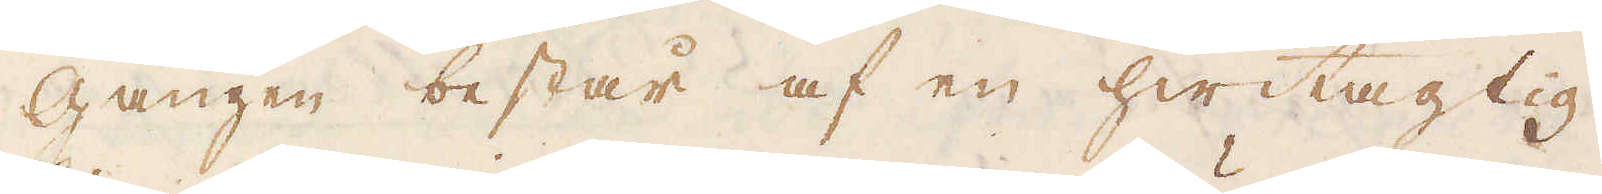Gången består af en hwitagtig
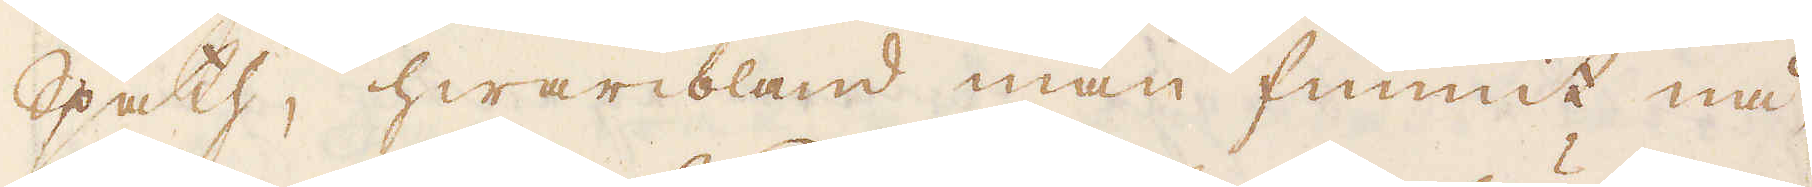Spath, hwaribland man funnit nå-
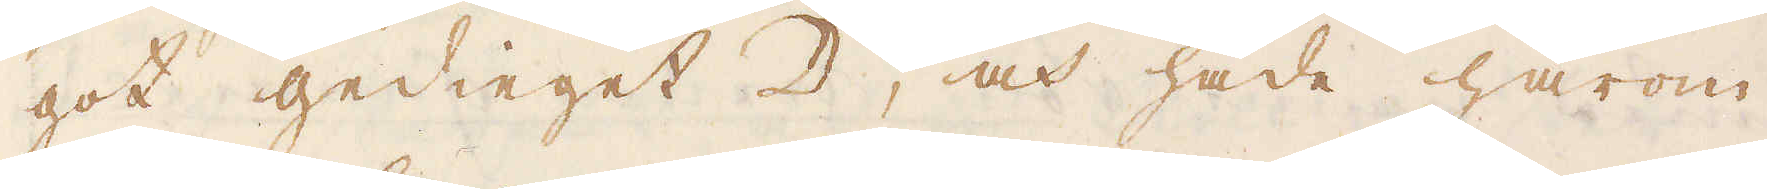got gedieget ☽, och hade härom
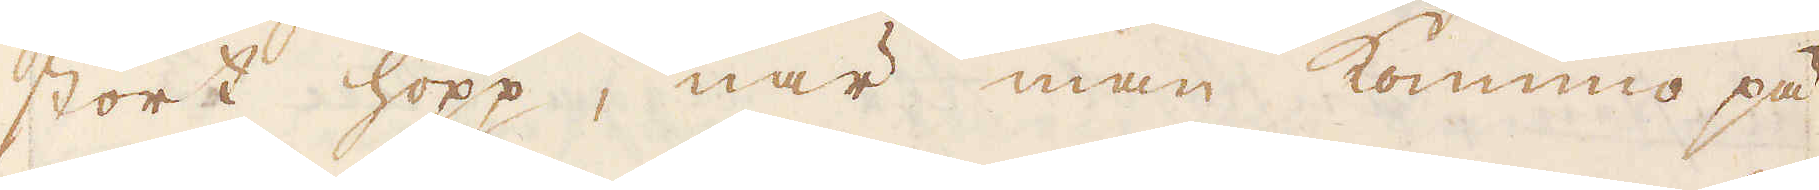stort hopp, när man kommo på
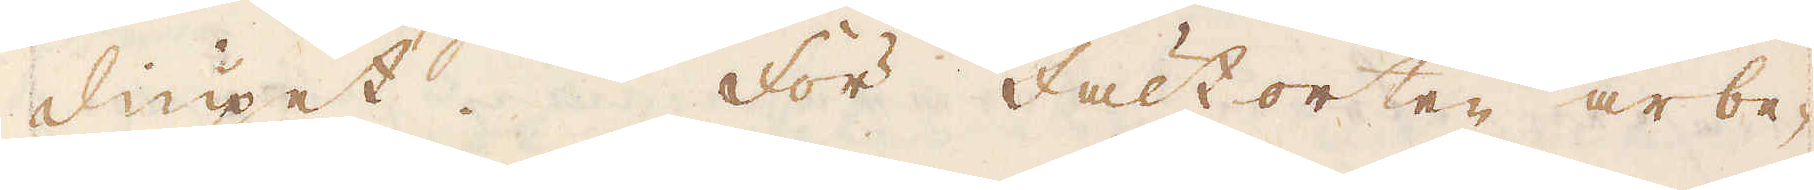diupet. För fältorten arbe-
